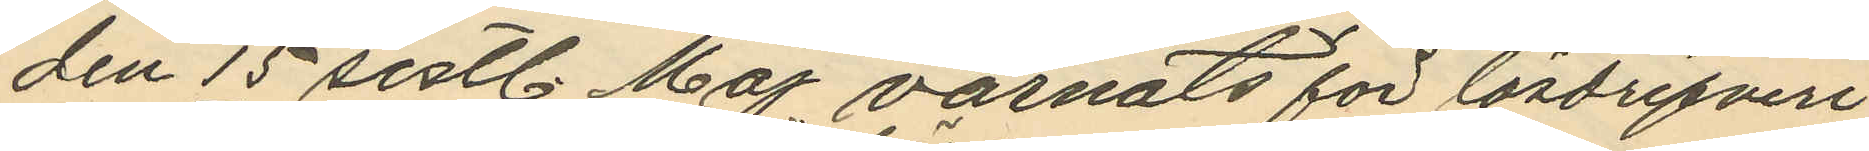den 15 sistl. Maj varnats för lösdrifveri
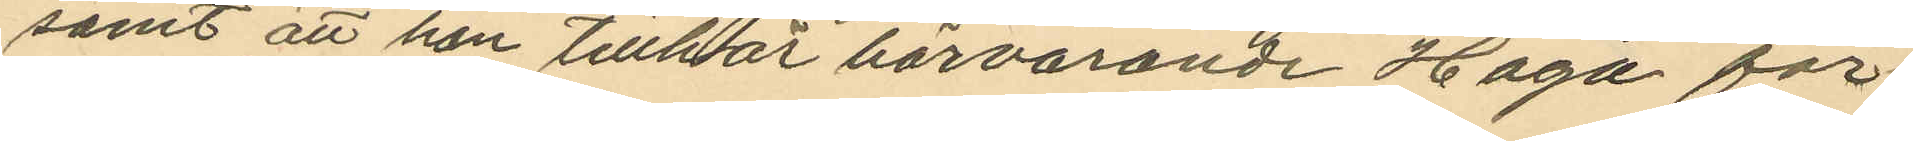samt att han tillhör härvarande Haga för¬
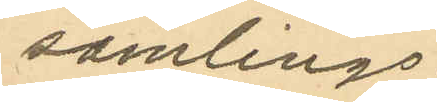samlings;
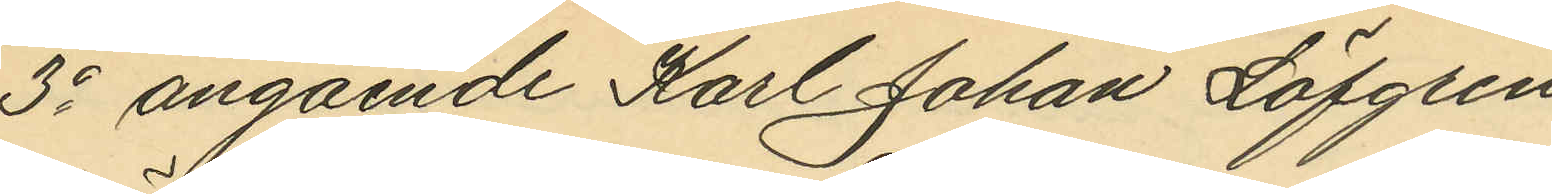3o angående Karl Johan Löfgren
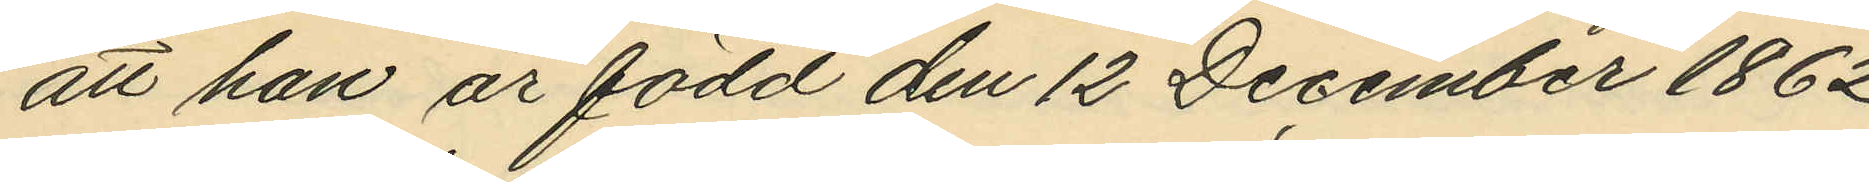att han är född den 12 December 1862
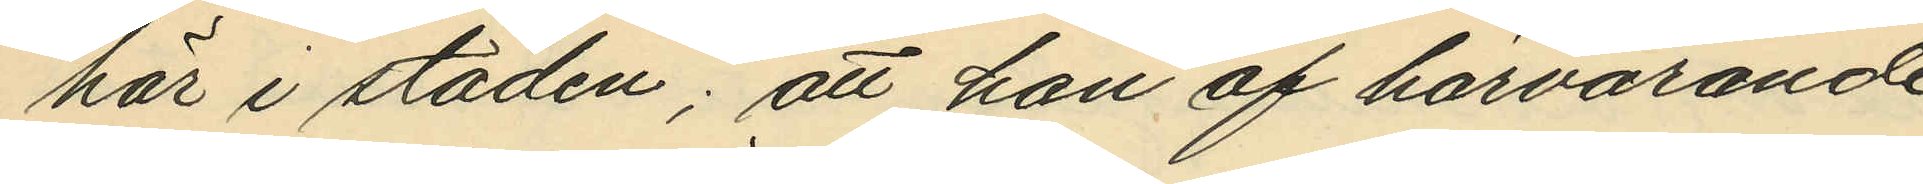här i staden; att han af härvarande
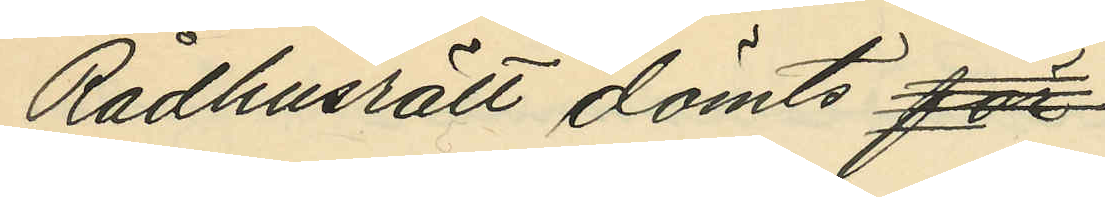Rådhusrätt dömts för
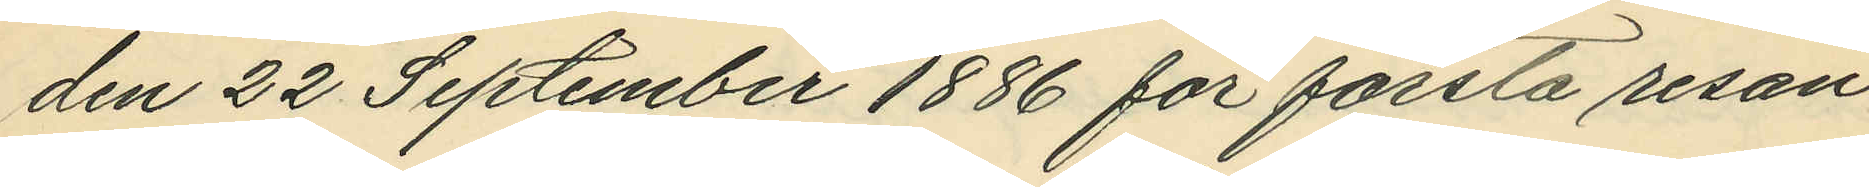den 22 September 1886 för första resan
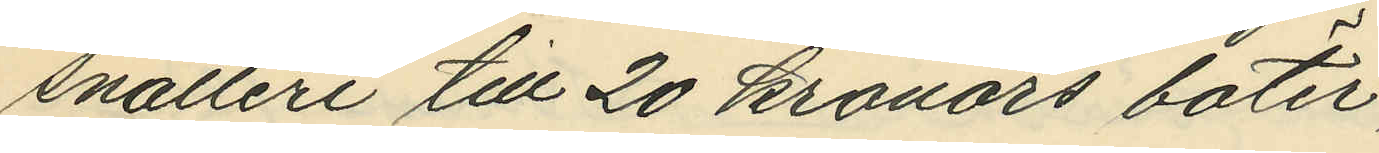snatteri till 20 kronors böter;
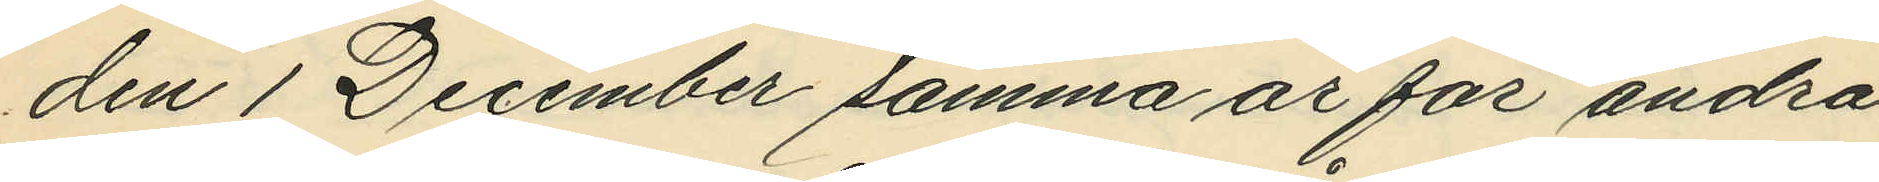den 1 December samma år för andra
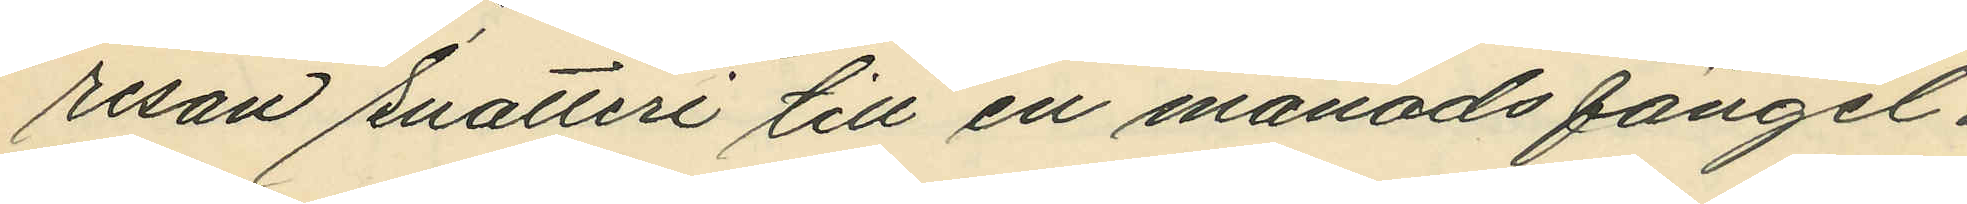resan snatteri till en månads fängel¬
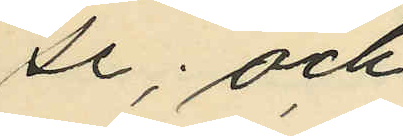se; och
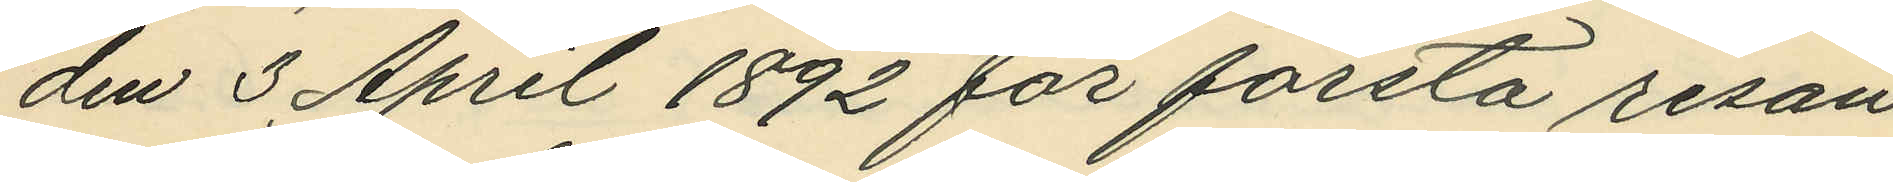den 3 April 1892 för första resan
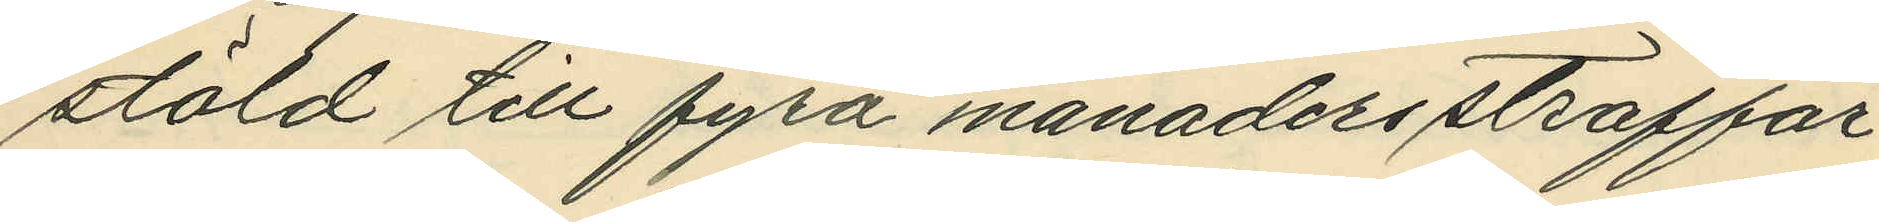stöld till fyra månaders straffar¬
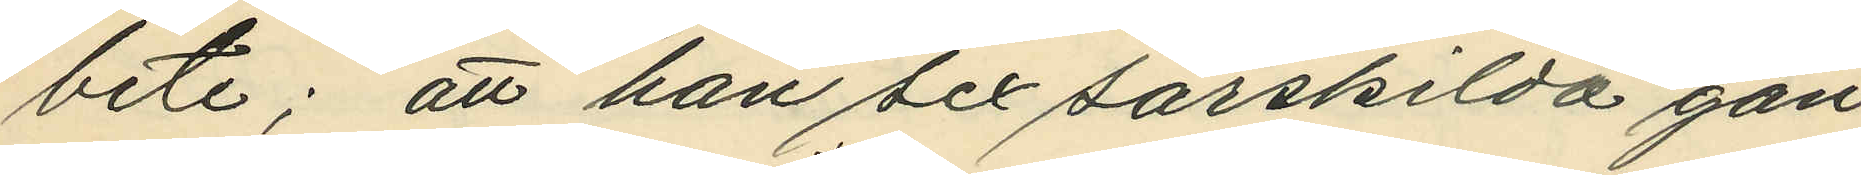bete; att han sex särskilda gån¬
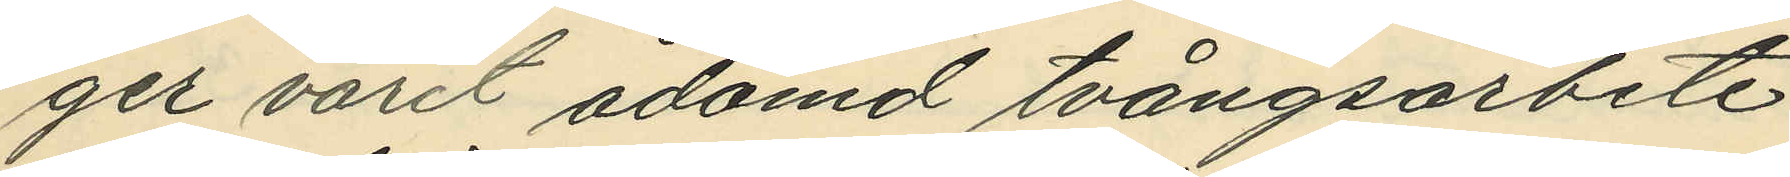ger varit ådömd tvångsarbete
